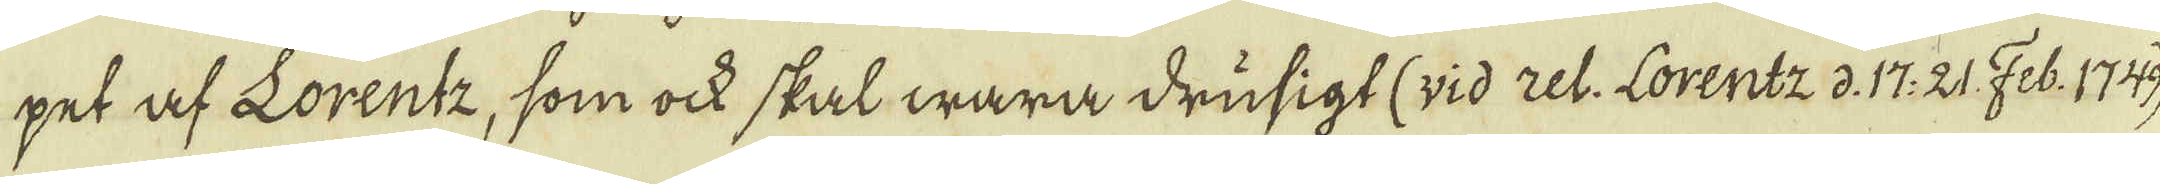pet af Lorentz, som ock skal wara drusigt (vid rel. Lorentz d. 17. 21 Feb: 1749.
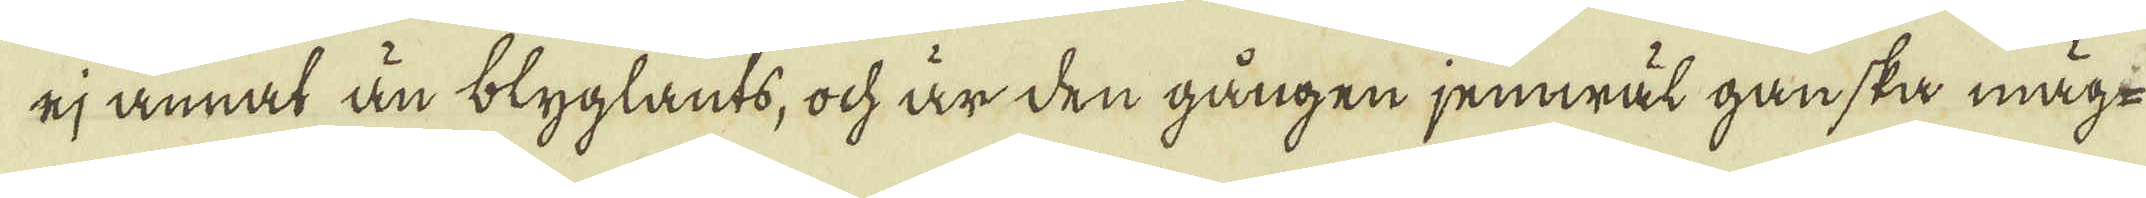ej annat än blyglants, ock är den gången jemwäl ganska mäg-
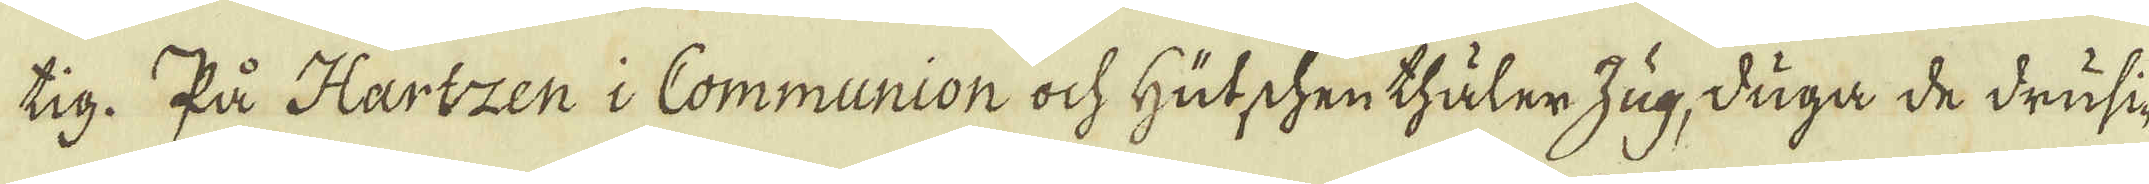tig. På Hartzen i Communion ock Hutschen thåler Zug, duga de drusi-
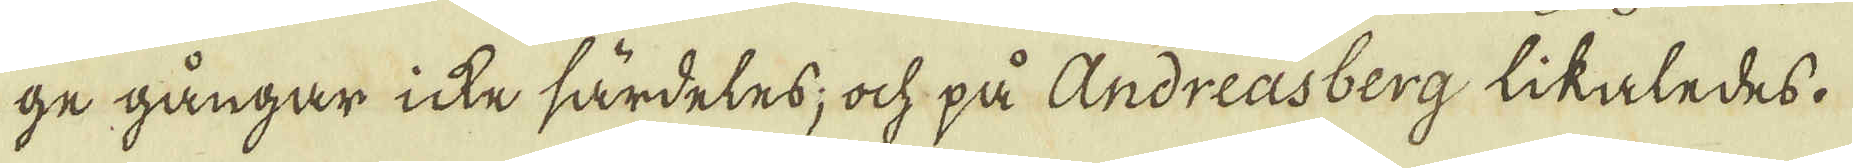ge gångar icke särdeles; ock på Andreasberg likaledes.
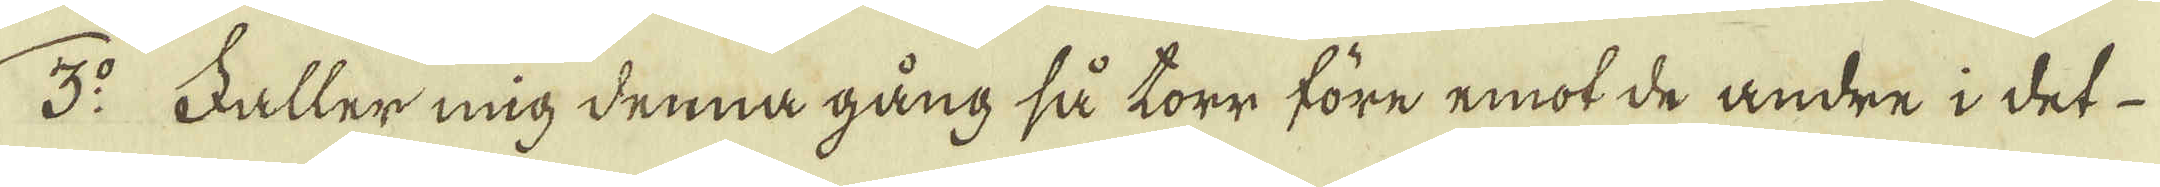3:o Faller mig denna gång så torr före emot de andre i det
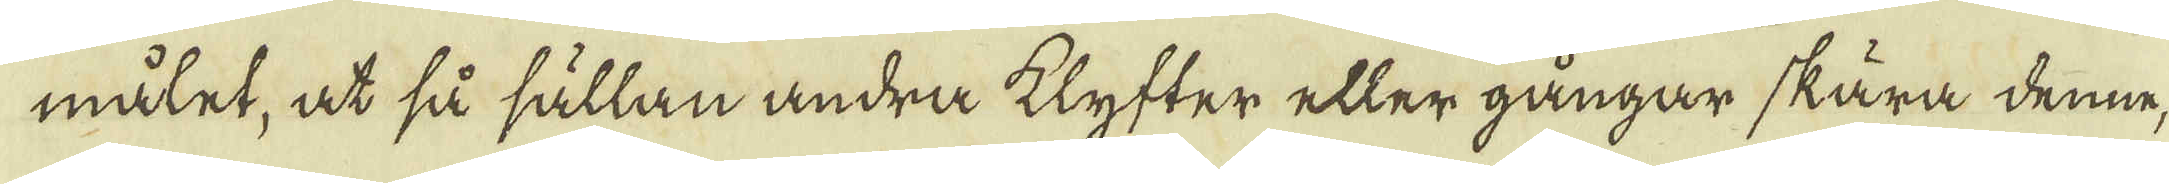målet, at så sällan andra klyfter eller gångar skära denne,
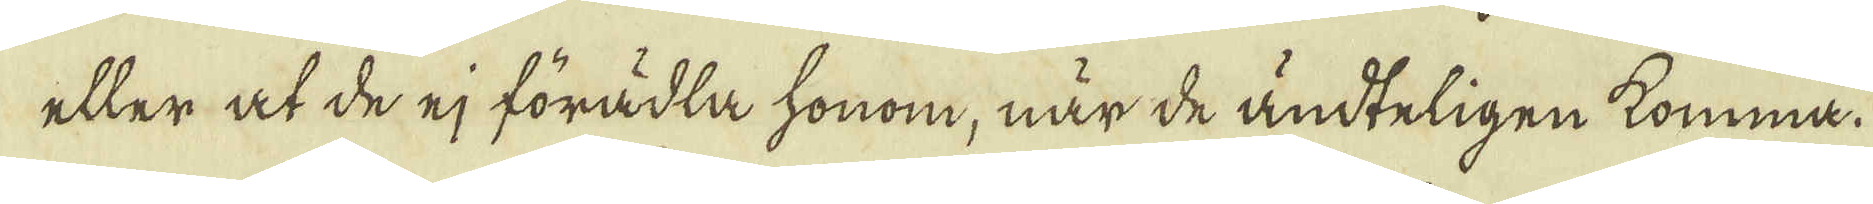eller at de ej förädla honom, när de ändteligen komma.
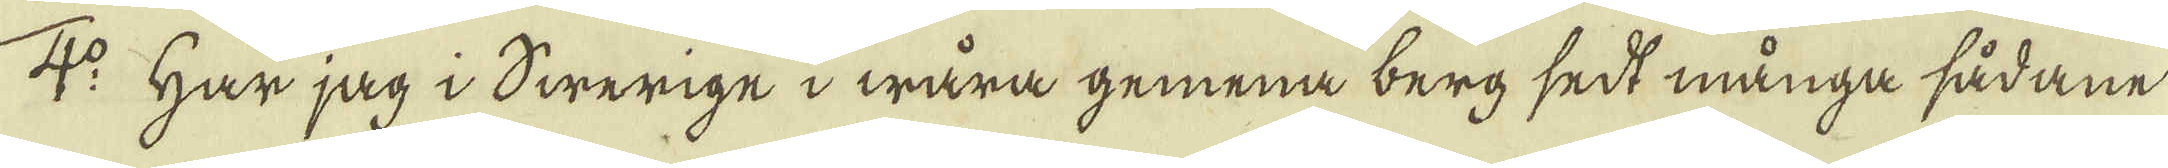4:o Har jag i Swerige i wåra gemena berg sedt många sådane
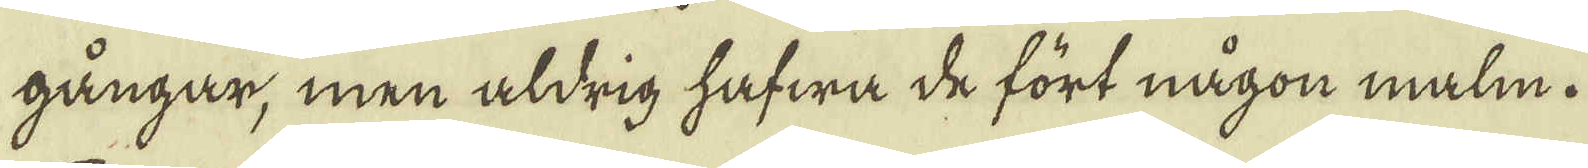gångar, men aldrig hafwa de fört någon malm.
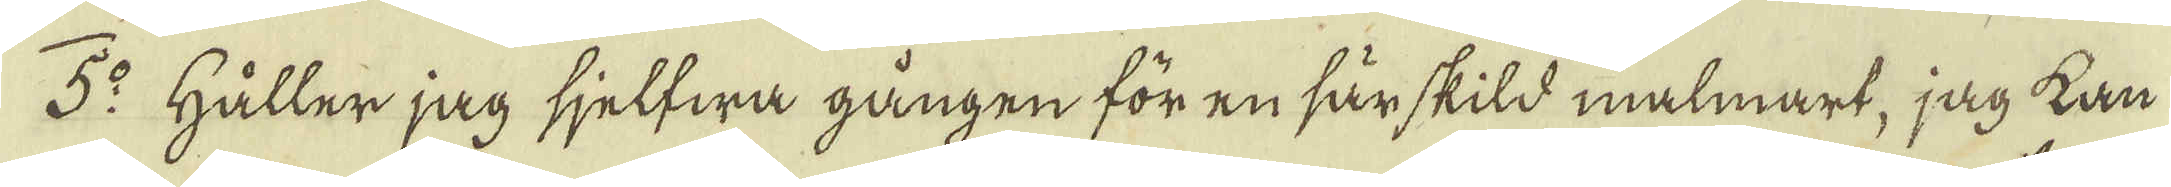5:o Håller jag sjelfwa gången för en särskild malmart, jag kan
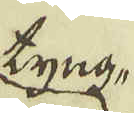tyng-
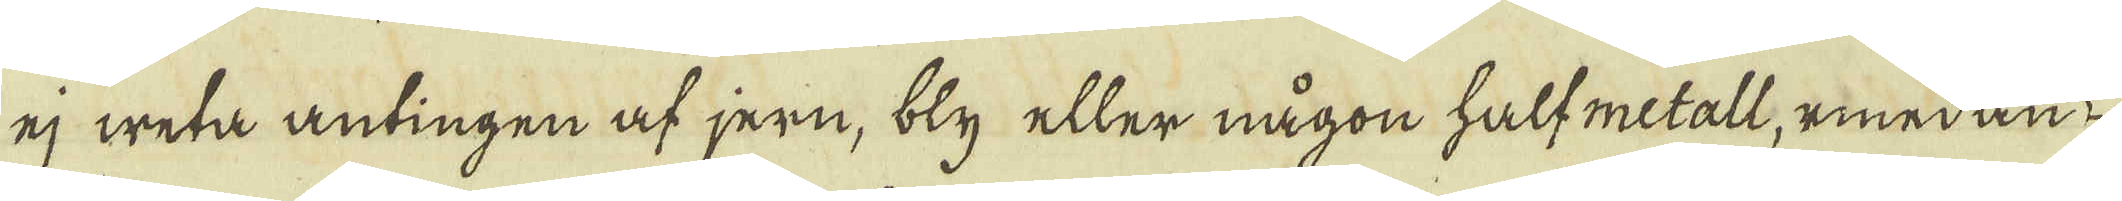ej weta antingen af jern, bly eller någon halfmetall, emedan
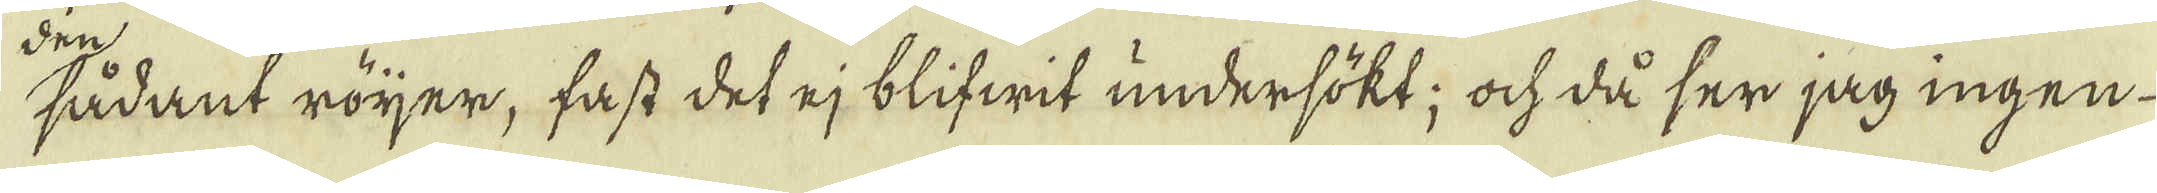sådant röjer, fast det ej blifwit undersökt; ock då ser jag ingen
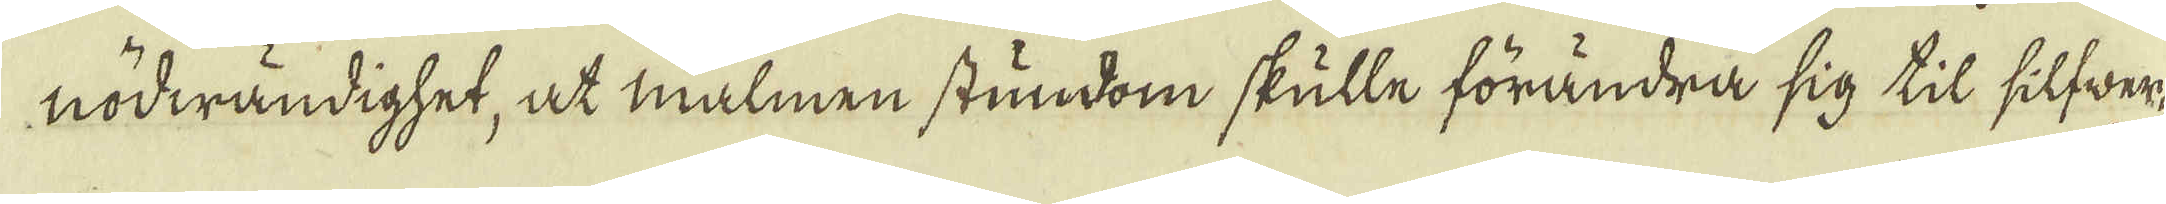nödwändighet, at malmen stundom skulle förändra sig til silfwer-
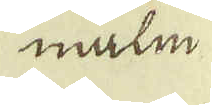malm
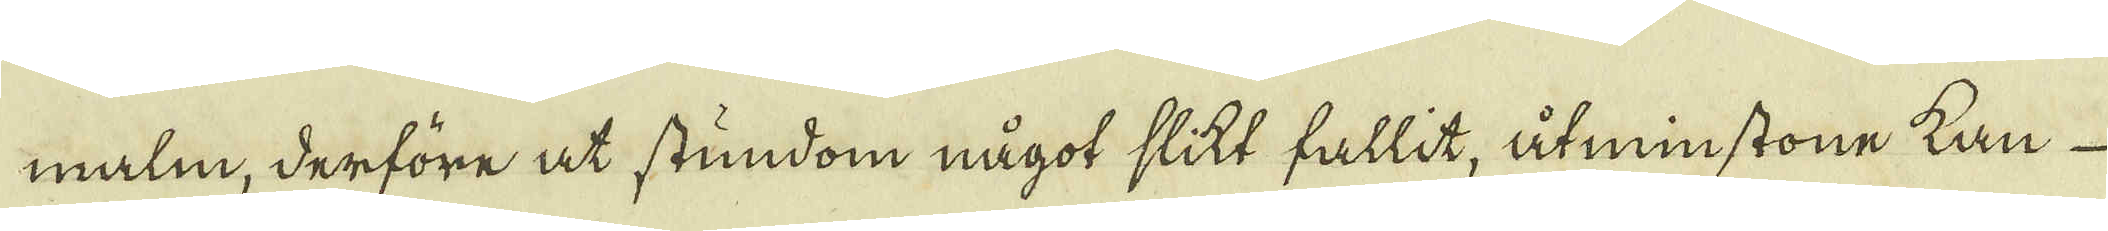malm, derföre at stundom något slikt fallit, åtminstone kan
